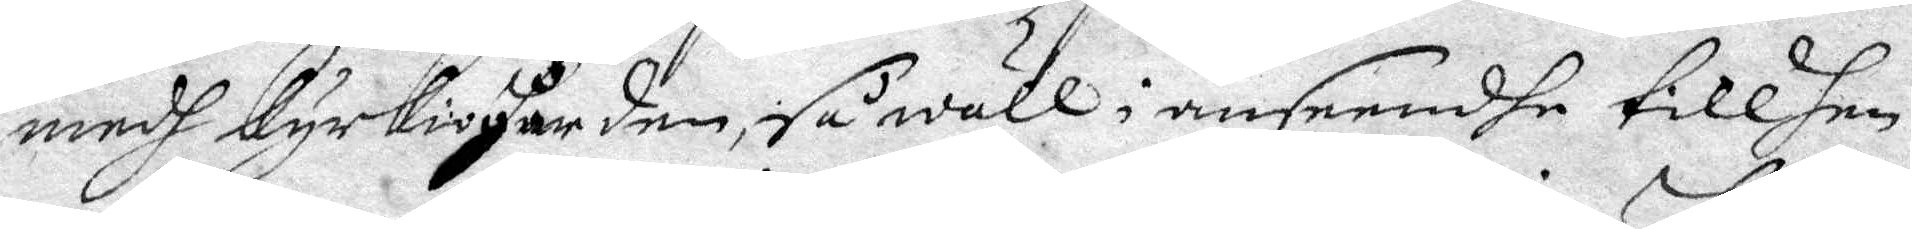medh kyrkioherden, så wäll i anseendhe till hen¬
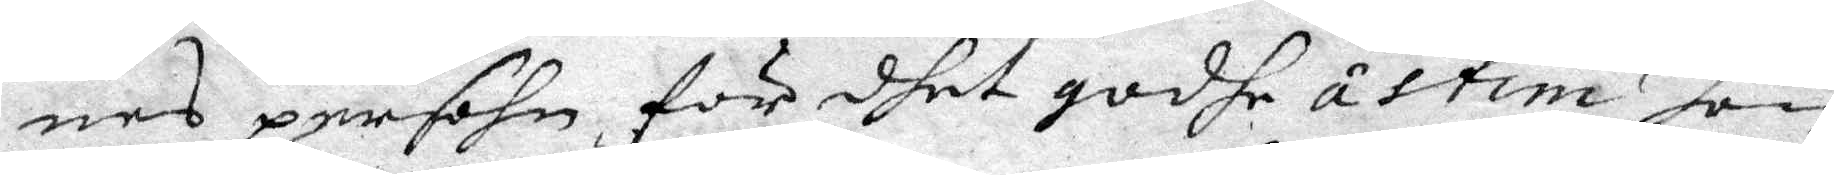nes persohn, för dhet godhe åstim hon
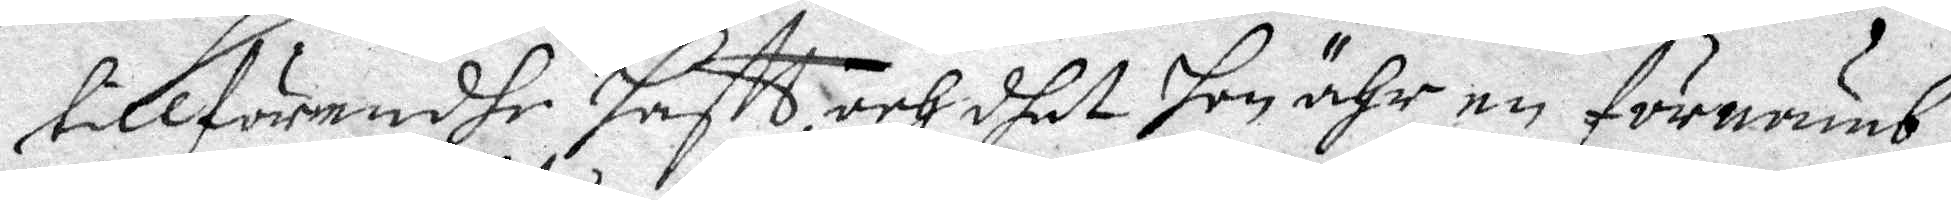tillförendhe haftt, och dhet hon ähr en förnämb¬
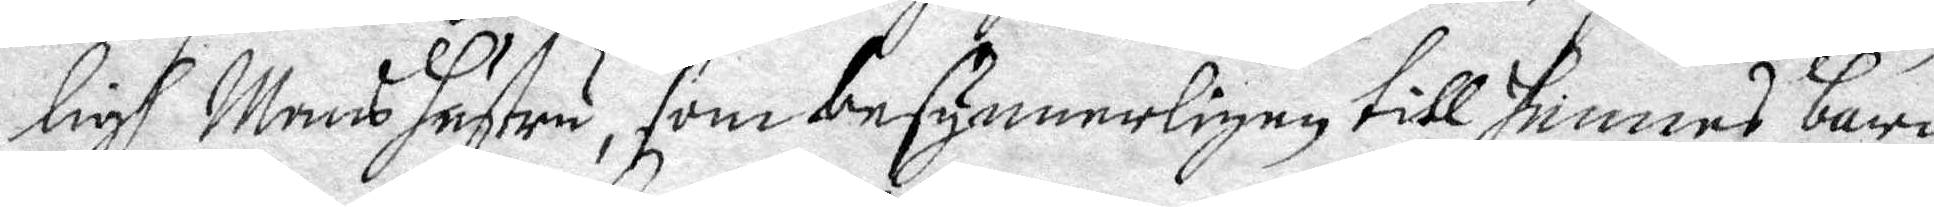ligh Mans hustru, som besynnerligen till hennes barn
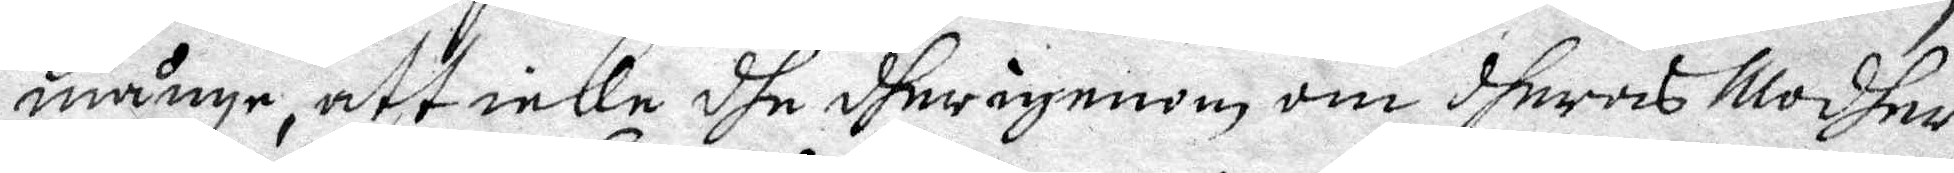månge, att icke dhe dher igenom om dheras Modhet
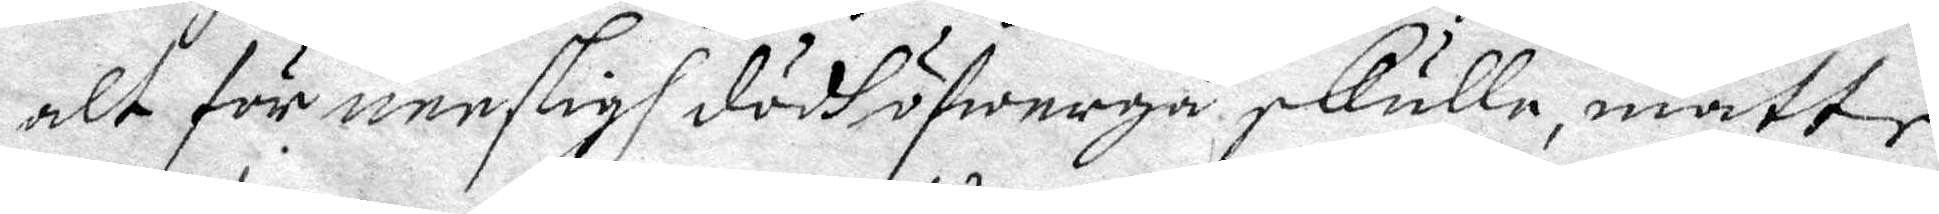alt för neesligh dödh öfwergå, skulle, måtte
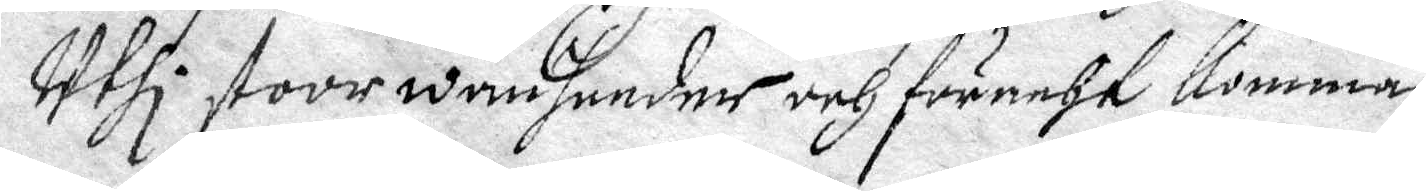Uthi stor wanheeder och föracht komma.
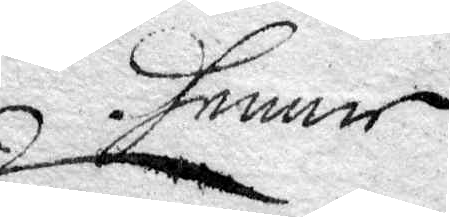denne
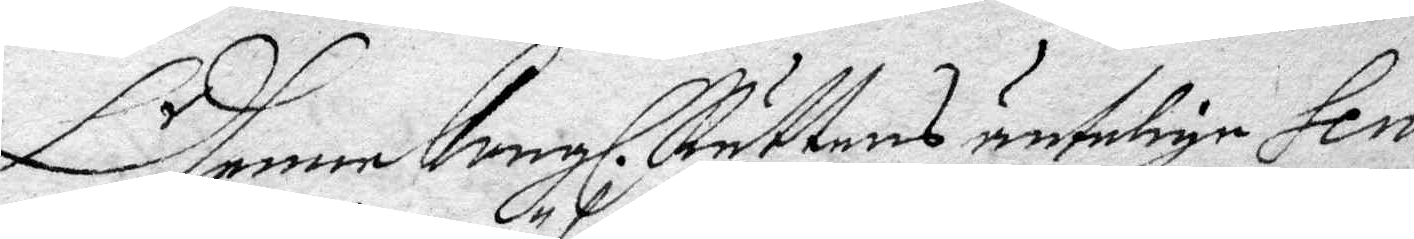Dhenne Kongl. Rättens äntelige Sen¬
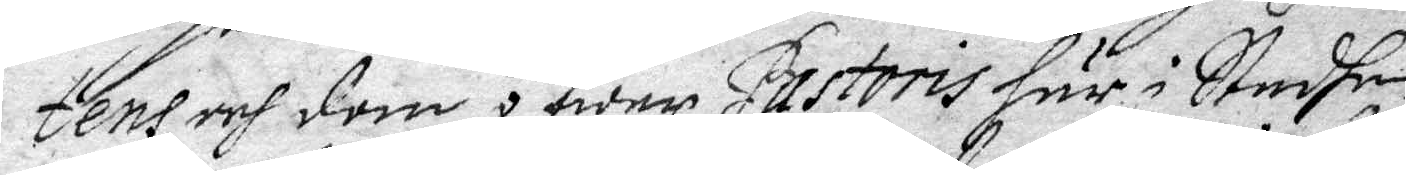tens och dom äfwer Pastoris här i Stadhen
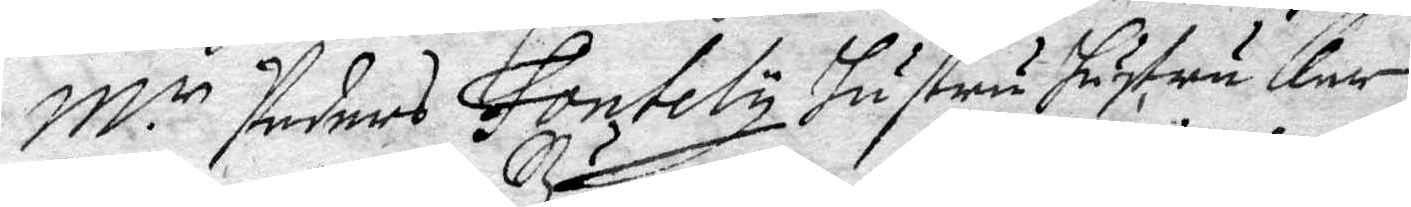M.r Peders Fontely hustru hustru Karin
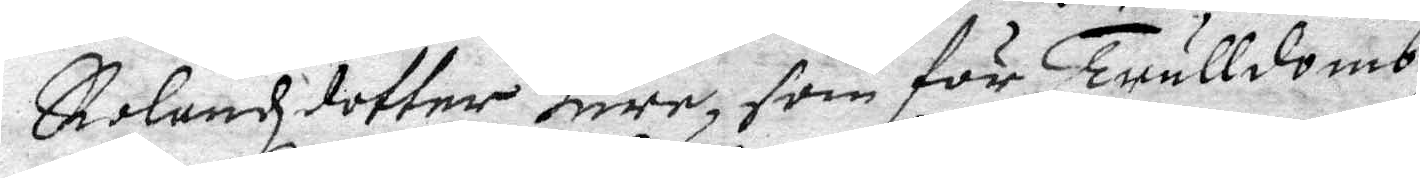Rolandzdotter Bure, som för Trulldomb
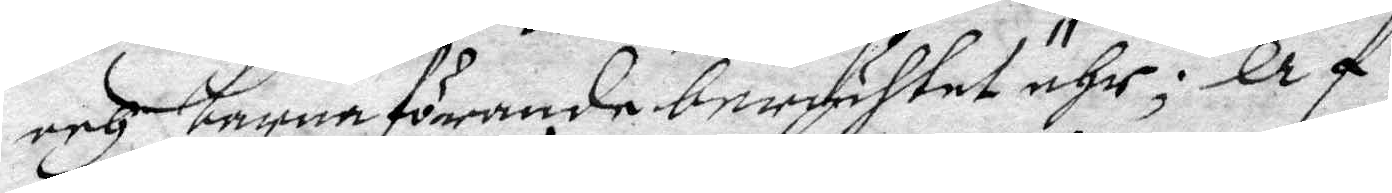och barnaförande berychtat ähr; Af¬
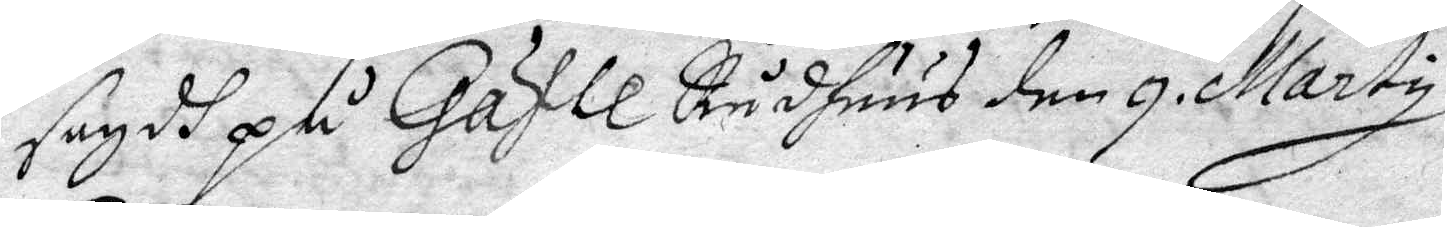sagdt på Gäfle Rådhuus den 9. Marty
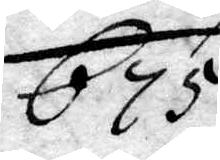675.
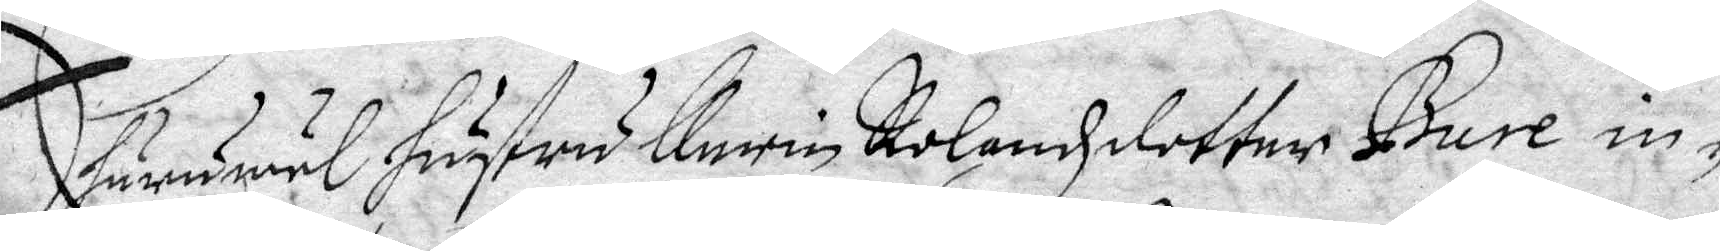Ehuruwäl hustru Karin Rolandzdotter Bure in¬
